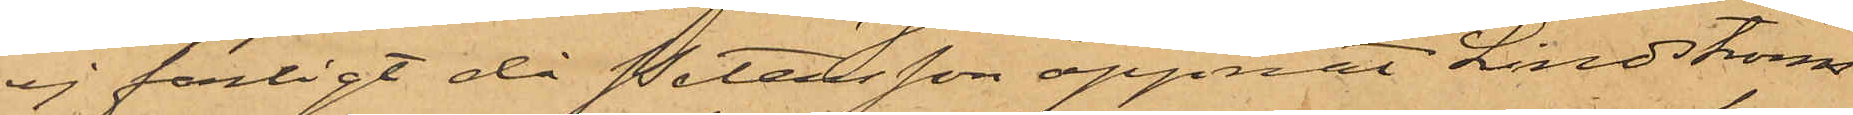ej farligt då Petersson öppnat Lindströms
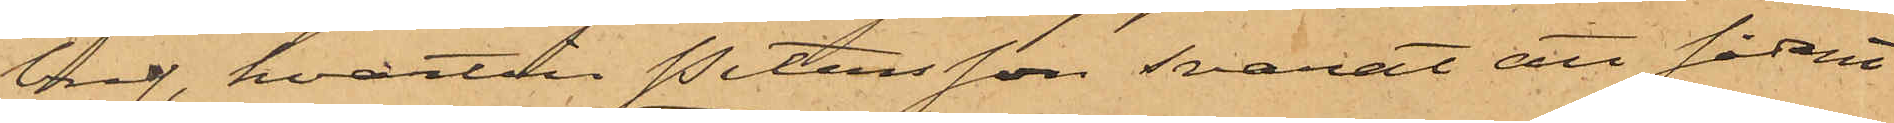bref, hvartill Petersson svarat att sådant
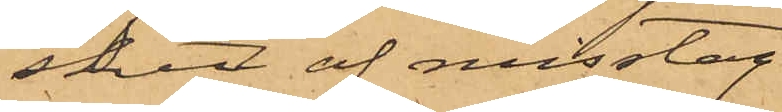skett af misstag
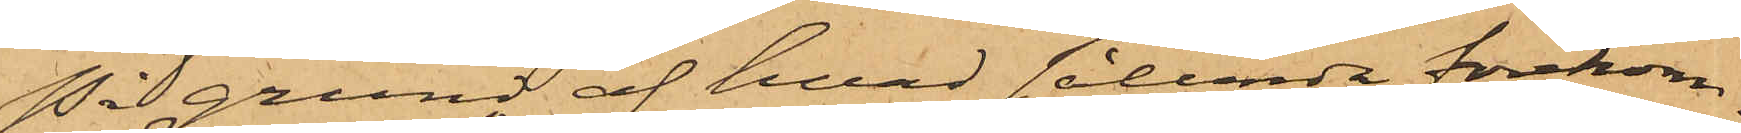På grund af hvad sålunda förekom¬
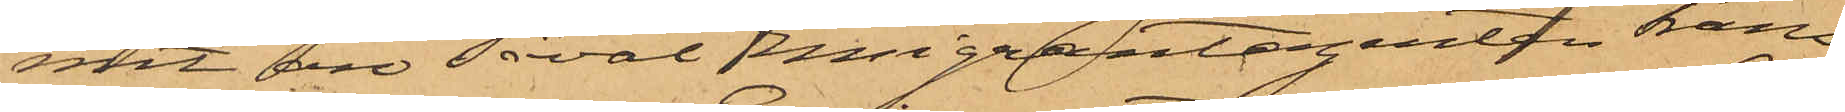mit äro såväl Emigrantagenten Frans
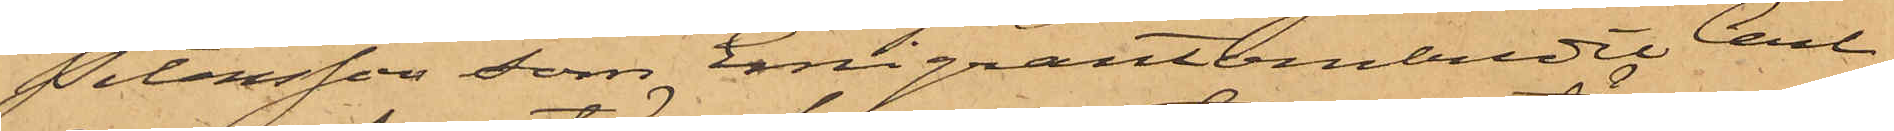Petersson som Emigrantombudet Carl
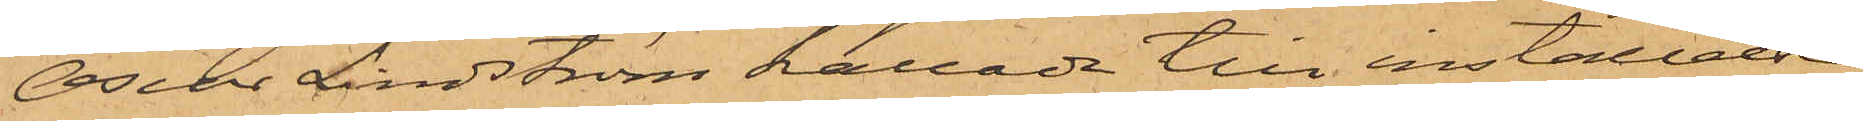Oscar Lindström kallade till inställelse
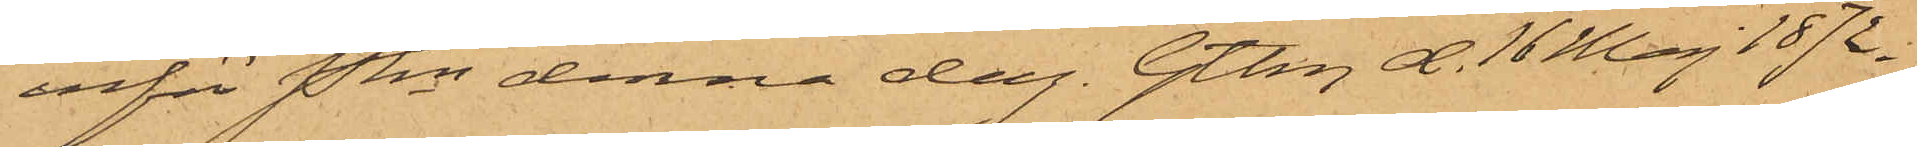inför Pkn denna dag. Gtbg d. 16 Maj 1872.
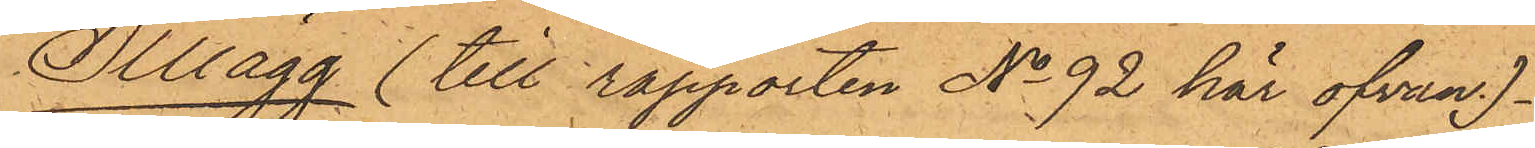Tillägg till rapporten No 92 här ofvan.
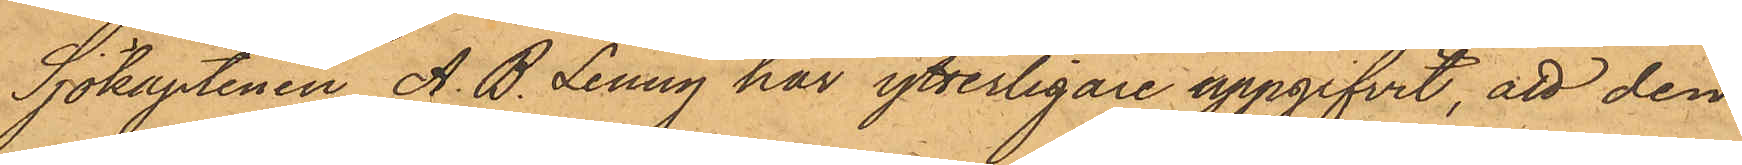Sjökaptenen A. B. Lenny har ytterligare uppgifvit, att den
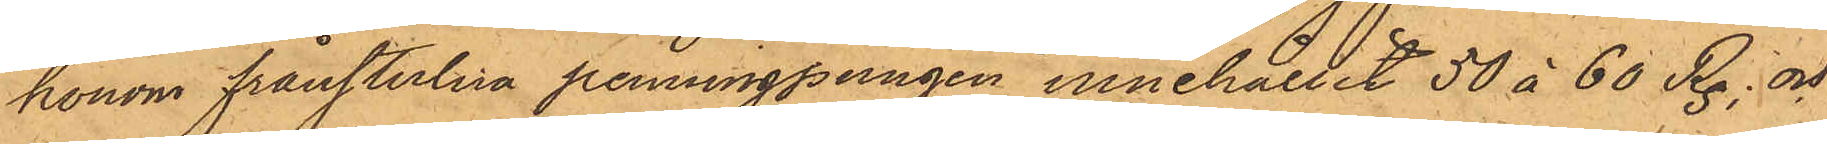honom frånstulna penningpungen innehållit 50 à 60 R.; och
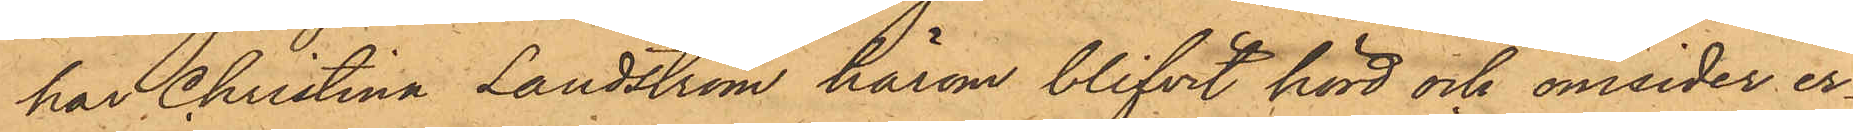har Christina Landström härom blifvit hörd och omsider er¬
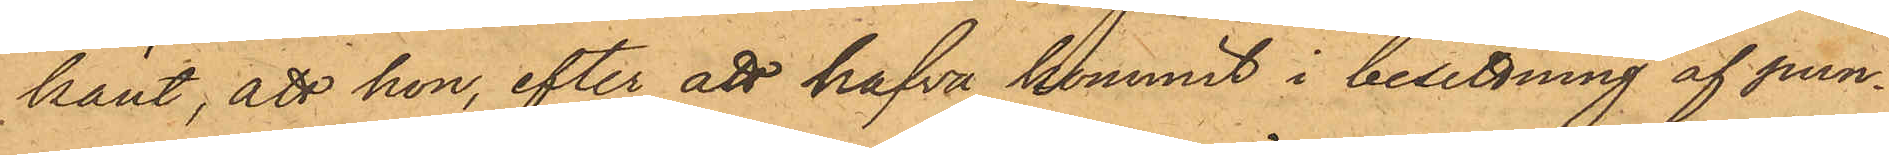känt, att hon, efter att hafva kommit i besittning af pun¬
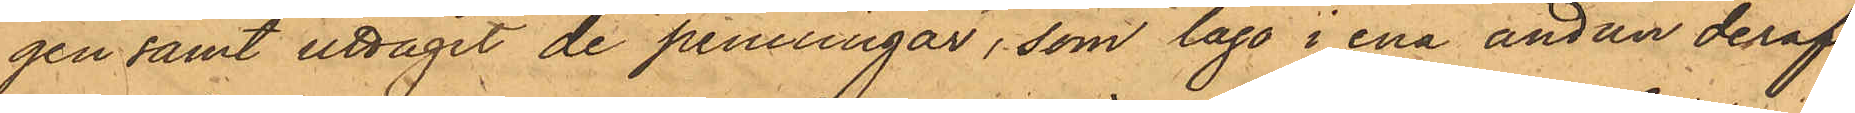gen samt uttagit de penningar, som lågo i ena ändan deraf,
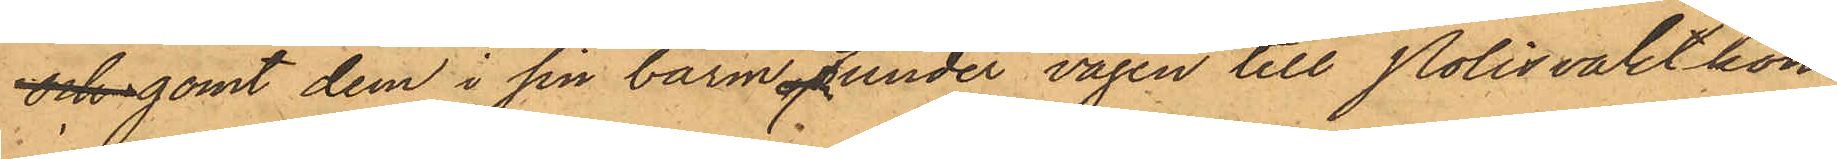och gömt dem i sin barm och under vägen till Polisvaktkon¬
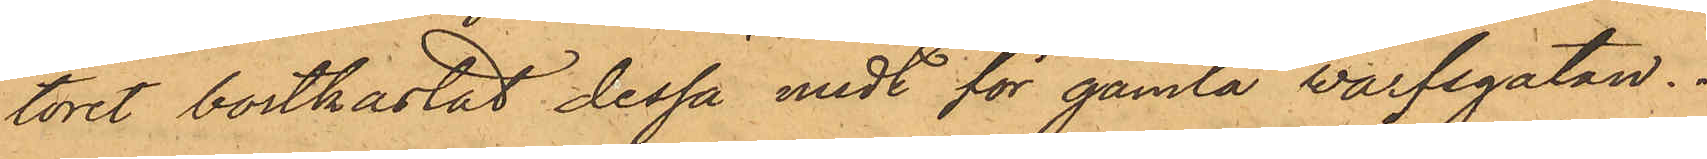toret bortkastat dessa midt för gamla Warfsgatan.
